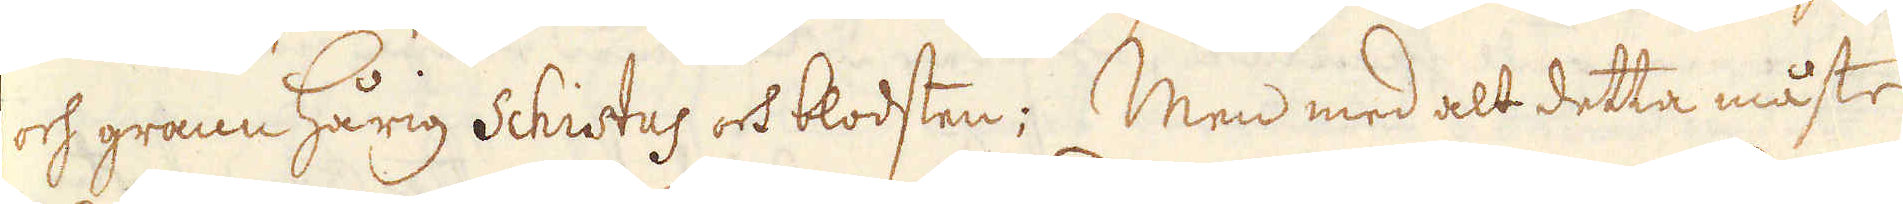och grann hårig schistus och blodsten; Men med alt detta måste
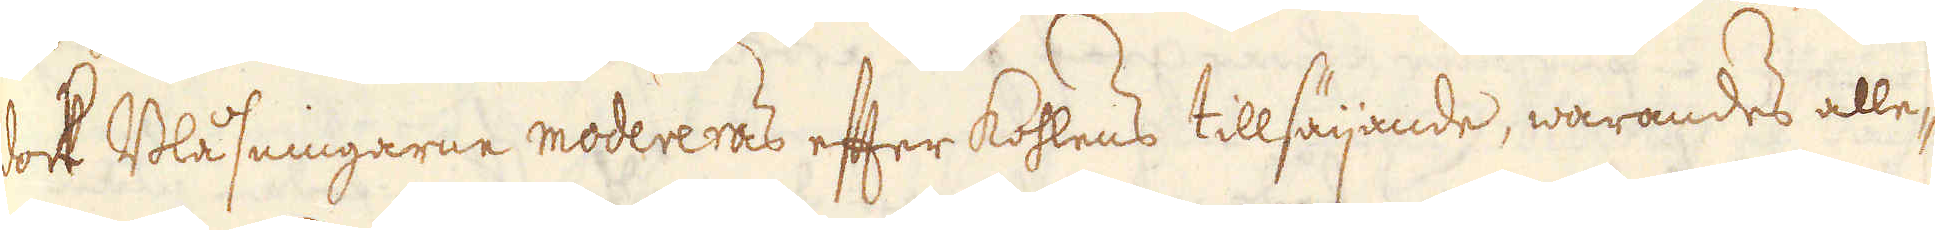dock Blåsningarne modereras efter kohlens tillsäijande, warandes alle-
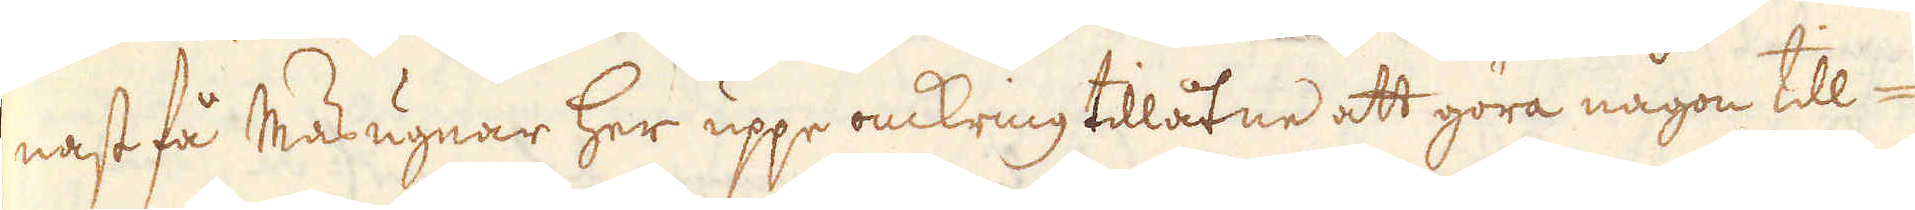nast få Masugnar her uppe omkring tillåtne att göra någon till-
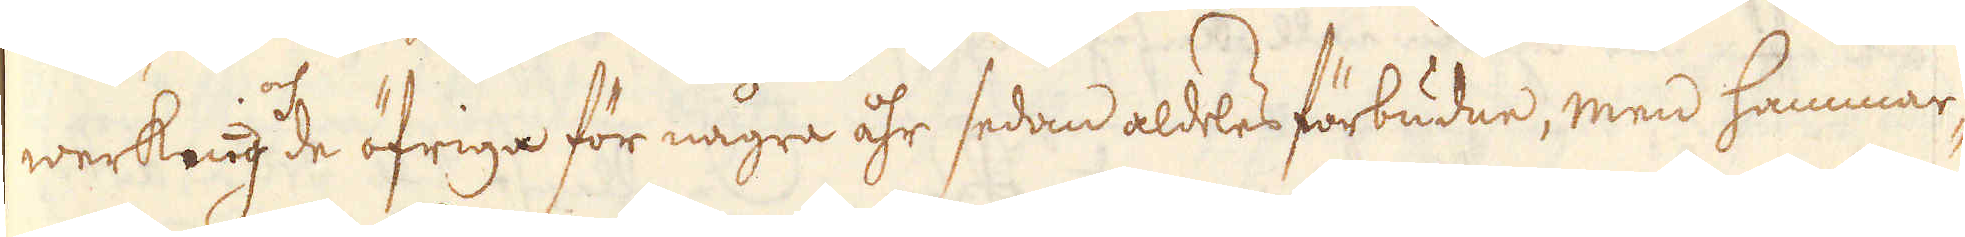werkning och de öfriga för några åhr sedan aldeles förbudne, men hammar-
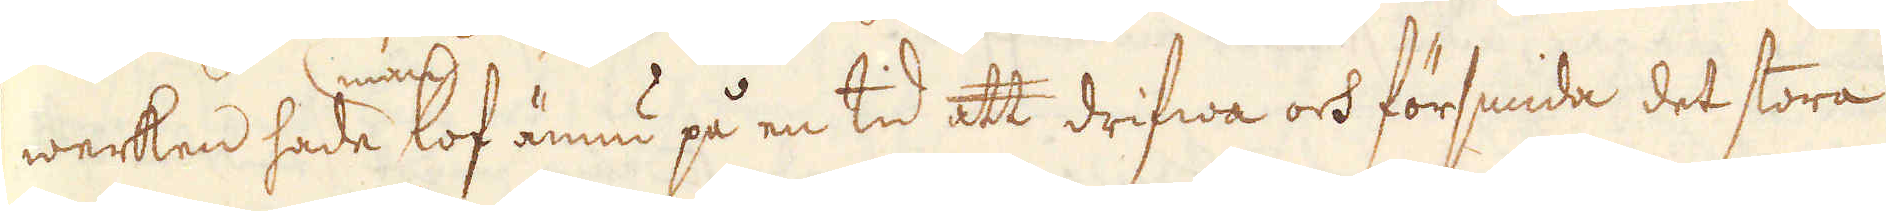werken hade man lof ännu på en tid att drifwa och försmida det stora
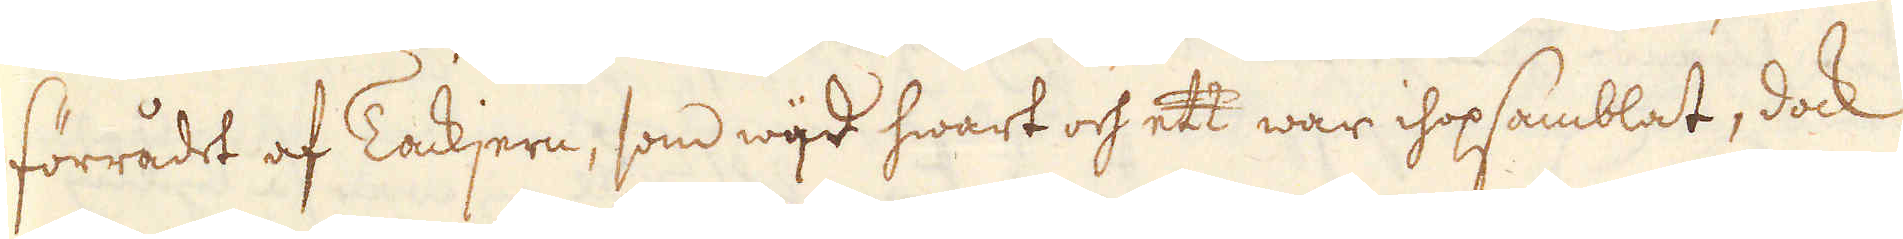förrådet af Tackjern, som wijd hwart och ett war ihopsamblat, dock
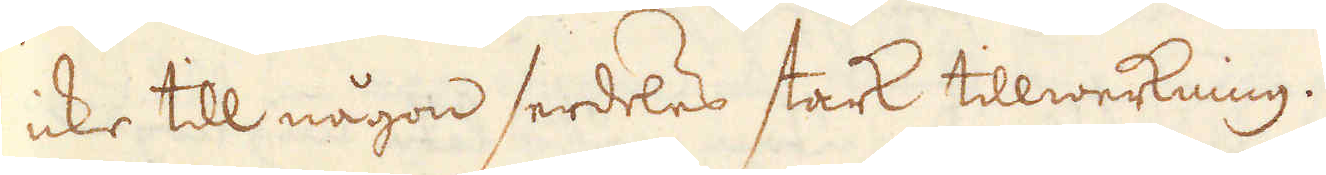icke till någon serdeles stark tillwerkning.
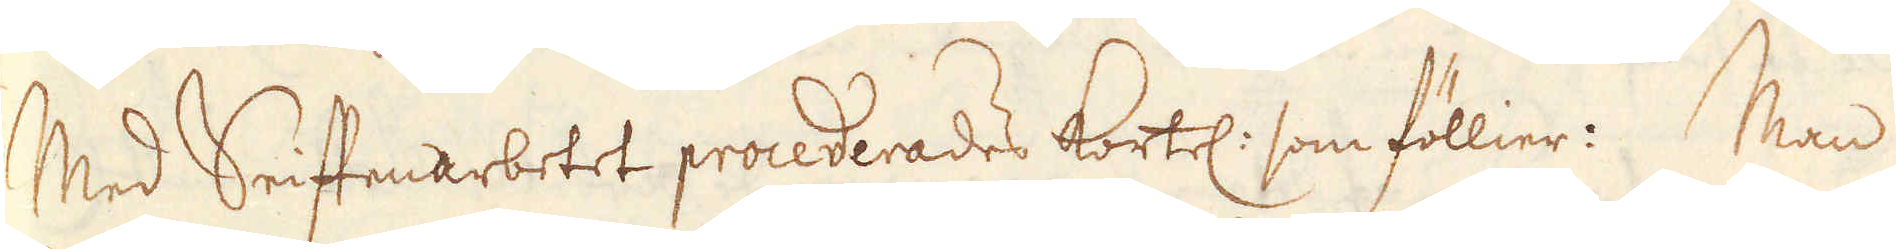Med Seiffenarbetet procederades kortel: som föllier: Man
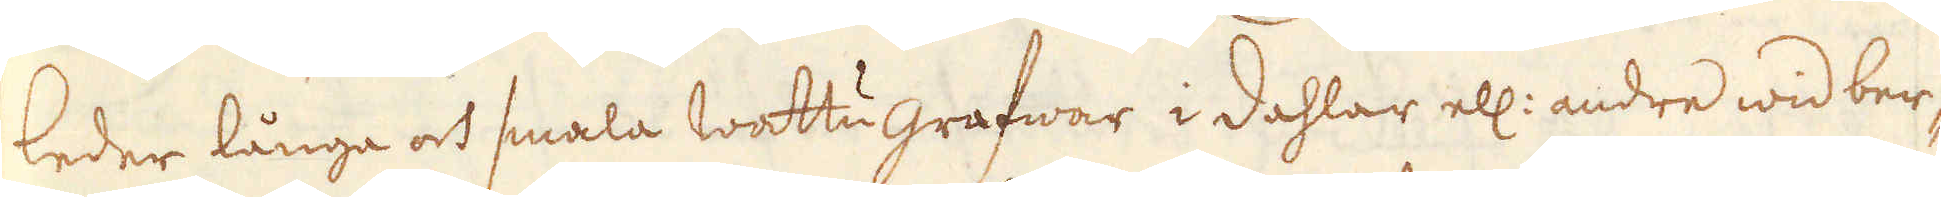leder långa och smala Wattugrafwar i dahlar ell: andre wid ber-
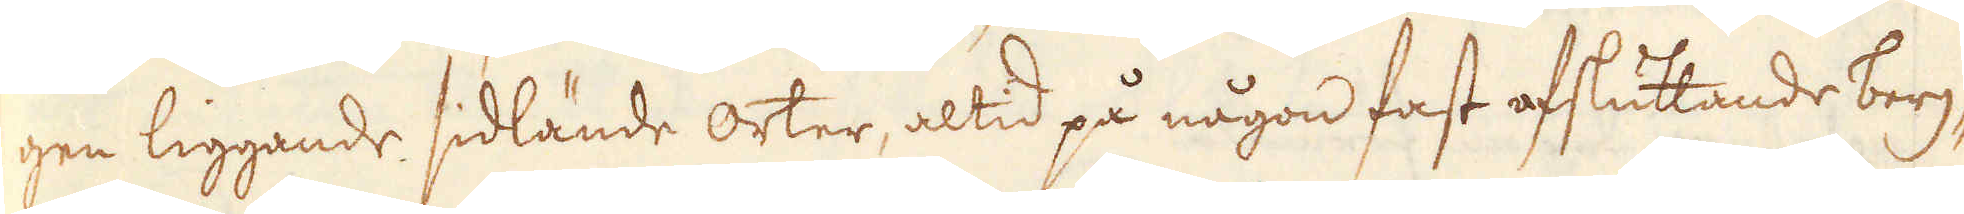gen liggande sidlände orter, altid på någon fast afsluttande berg-
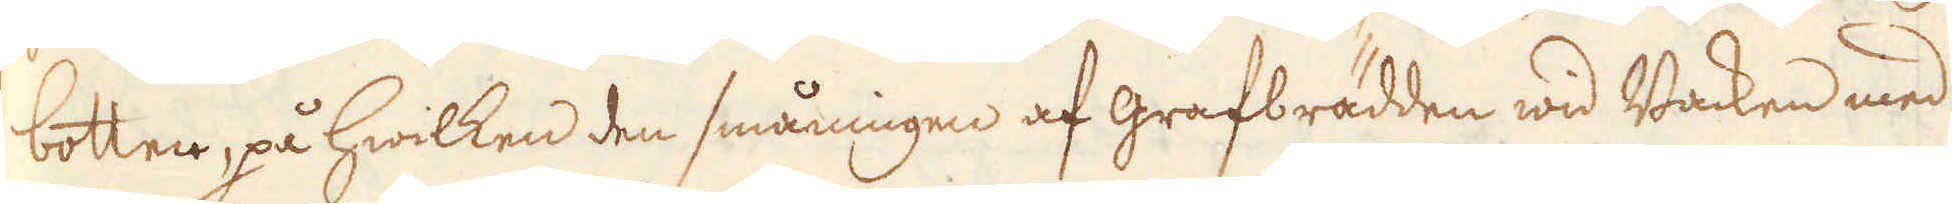botten, på hwilken den småningen af grafbrädden wid Backen med
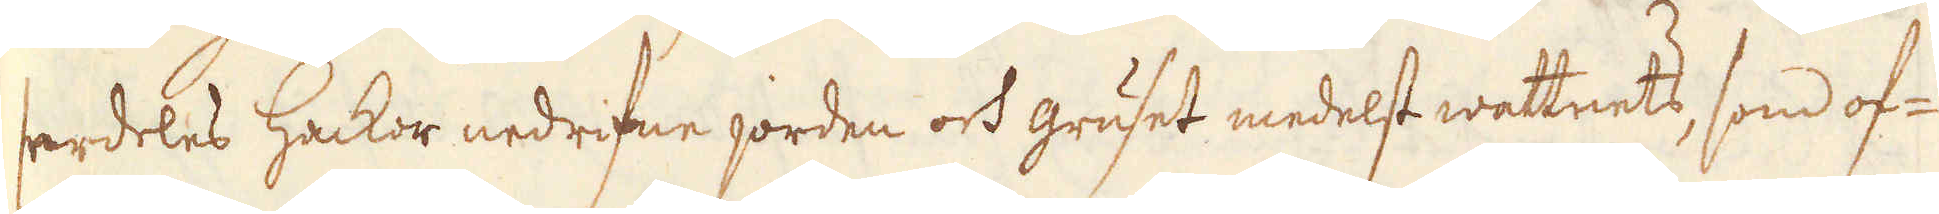serdeles Hackor nedrifne jorden och gruset medelst wattnets, som of-
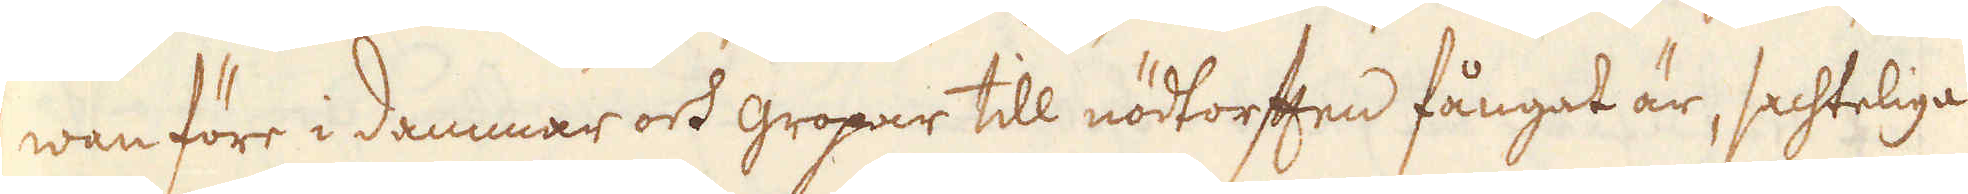wan före i dammar och gropar till nödtorften fångat är, sachteliga
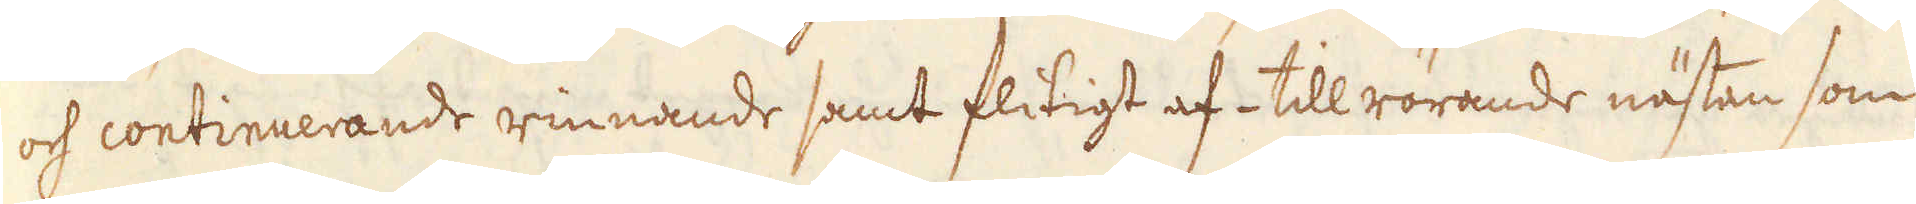och continuerande rinnande samt flitigt af- till rörande nästan som
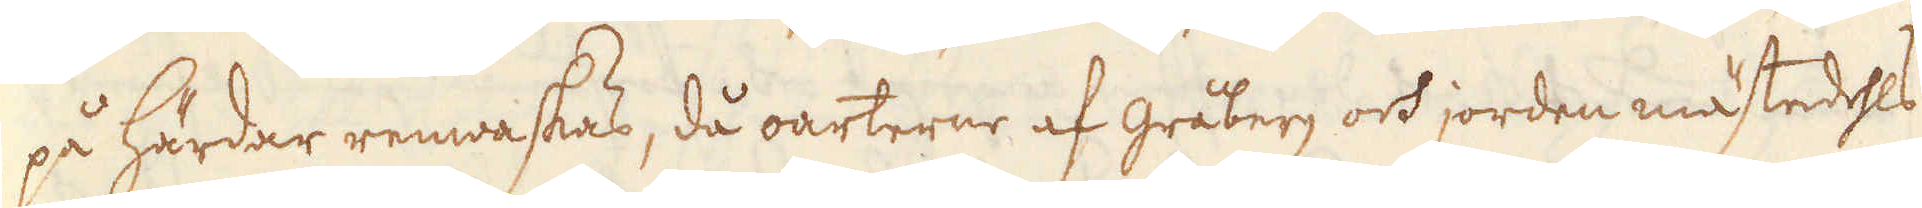på Härdar renwaskas, då oarterne af gråberg och jorden mästedehls
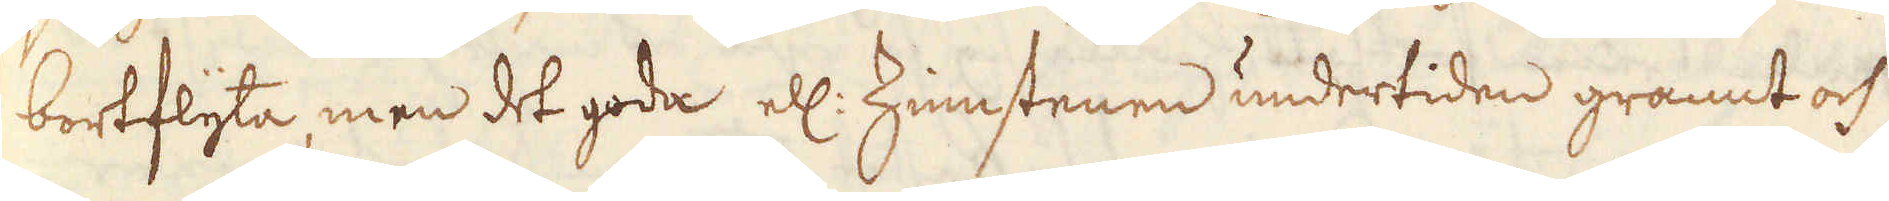bortflyta, men det goda ell: Zinnstenen undertiden grannt och
